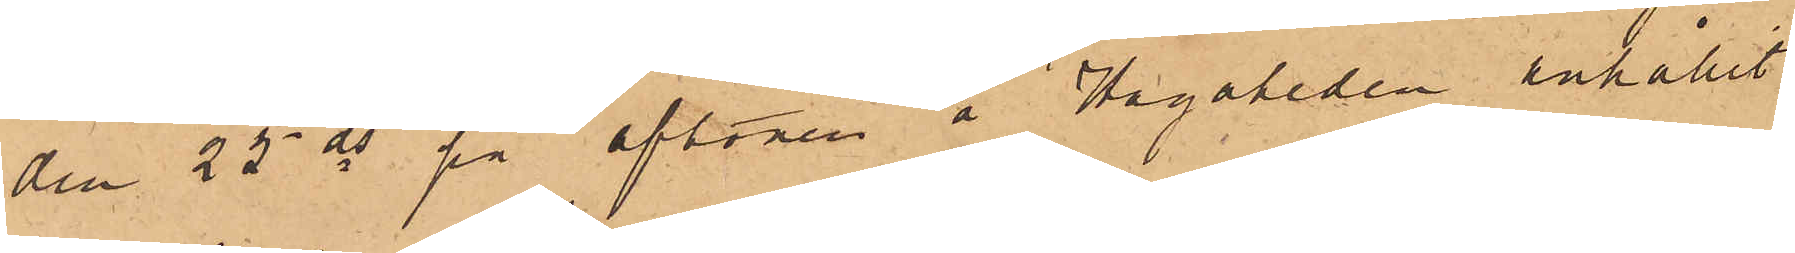den 25 ds på aftonen å Hagaheden anhållit
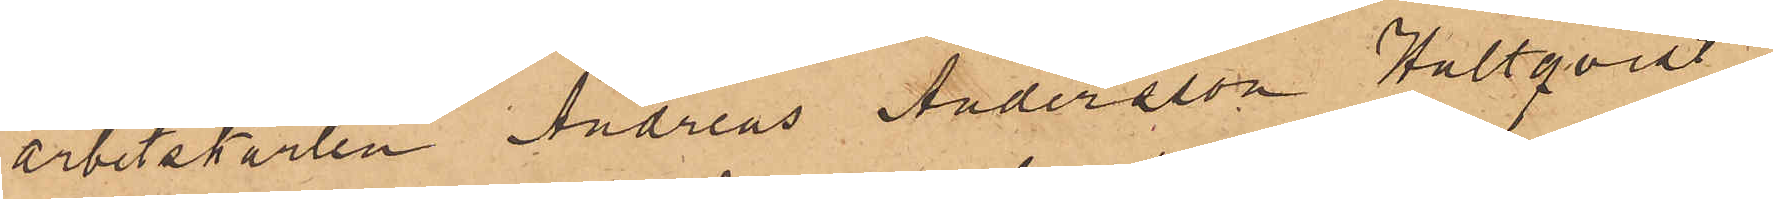arbetskarlen Andreas Andersson Hultqvist
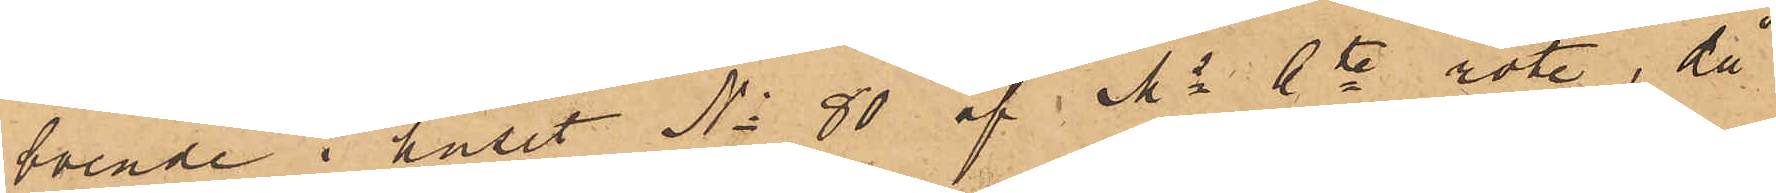boende i huset No 80 af Ms 6te rote, då
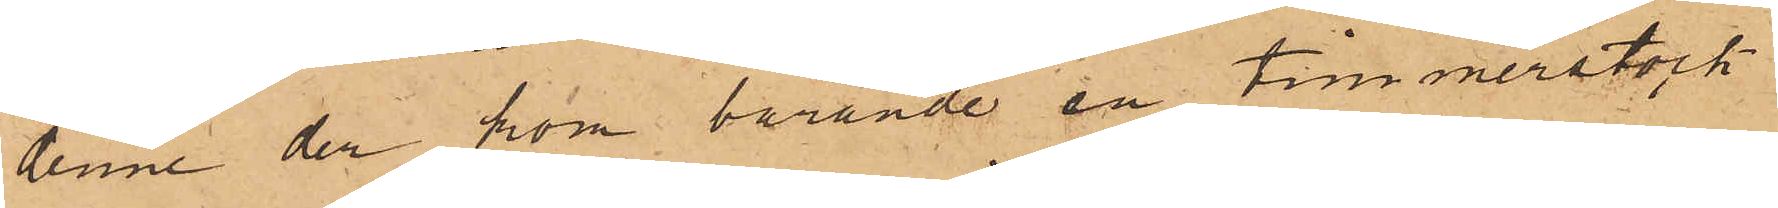denne der kom bärande en timmerstock
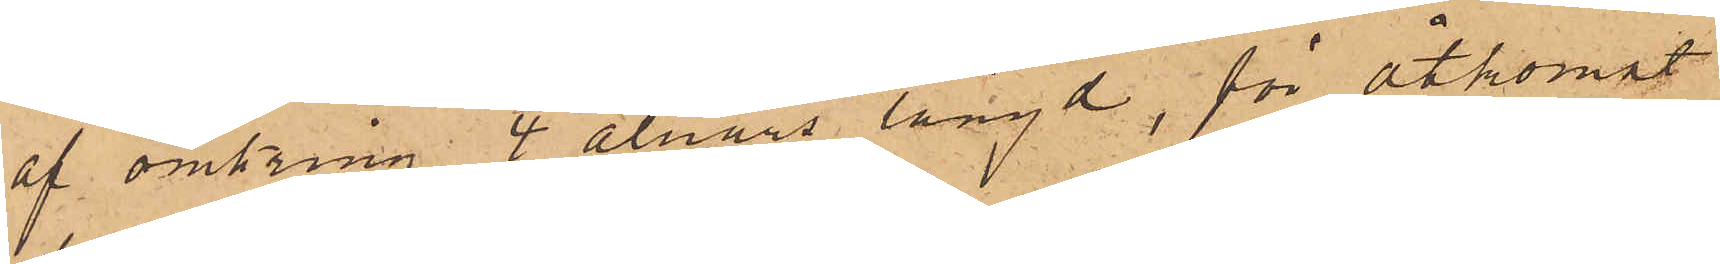af omkring 4 alnars längd, för åtkomst
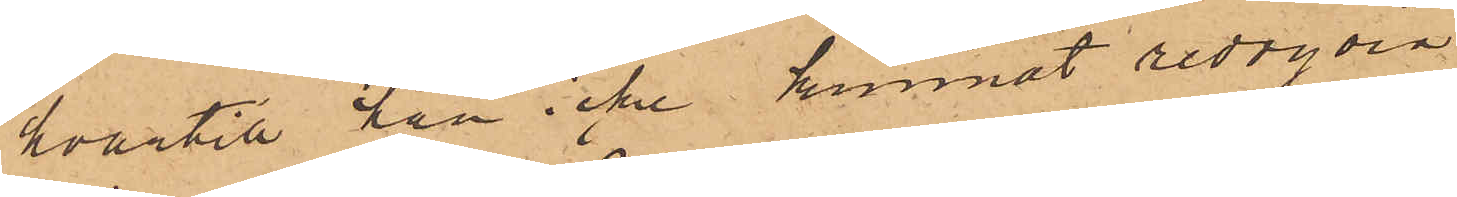hvartill han icke kunnat redogöra.
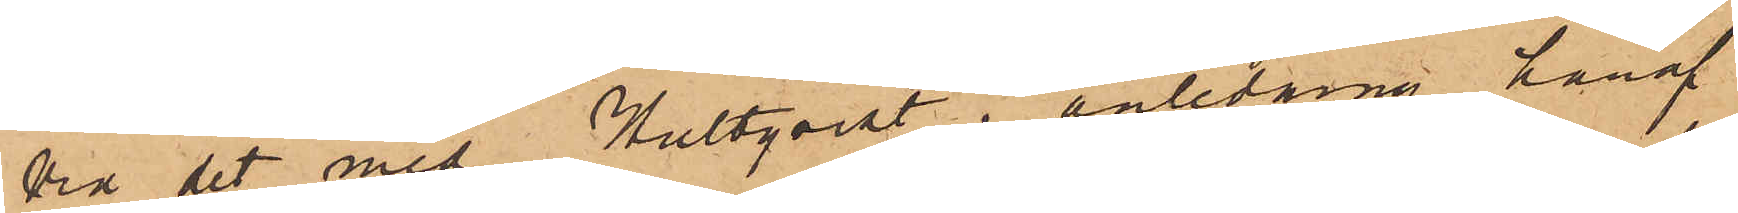Vid det med Hultqvist i anledning häraf
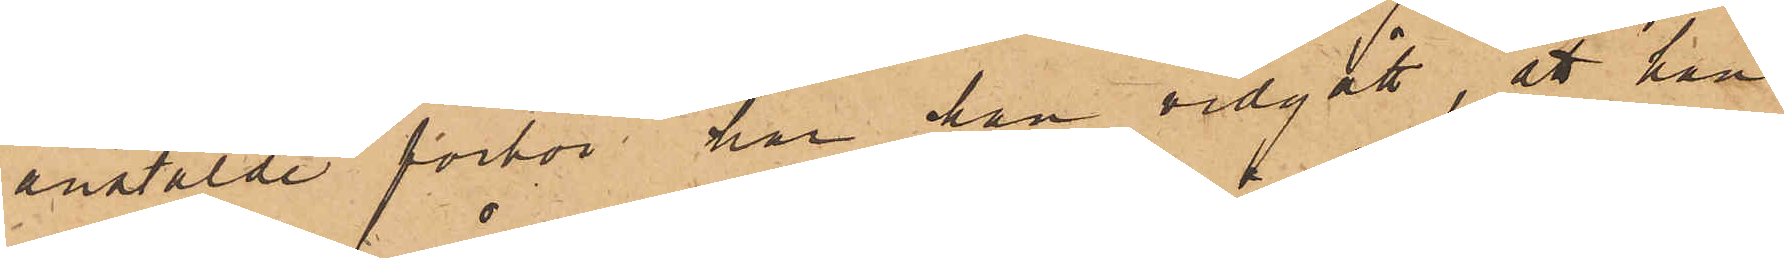anstälde förhör har han vidgått, att han
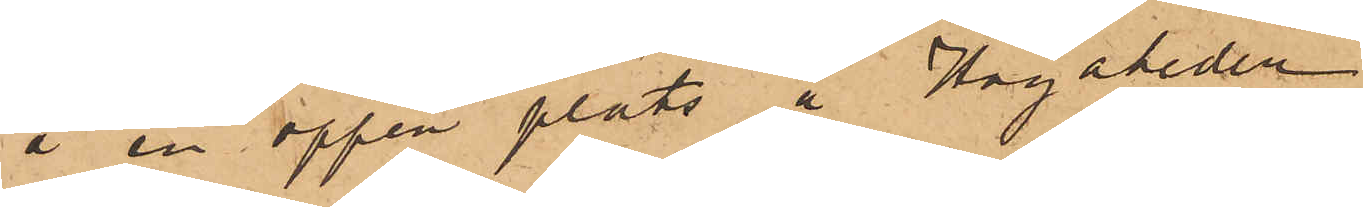å en öppen plats å Hagaheden
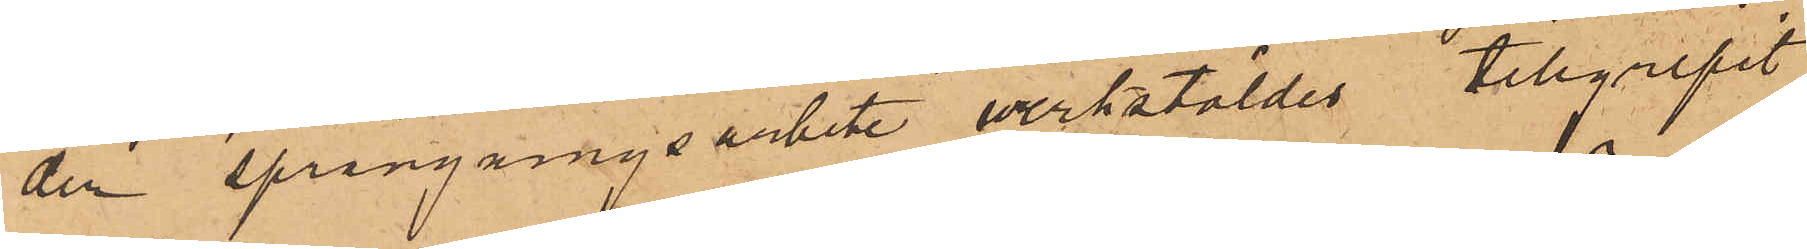der sprängningsarbete verkstäldes tillgripit
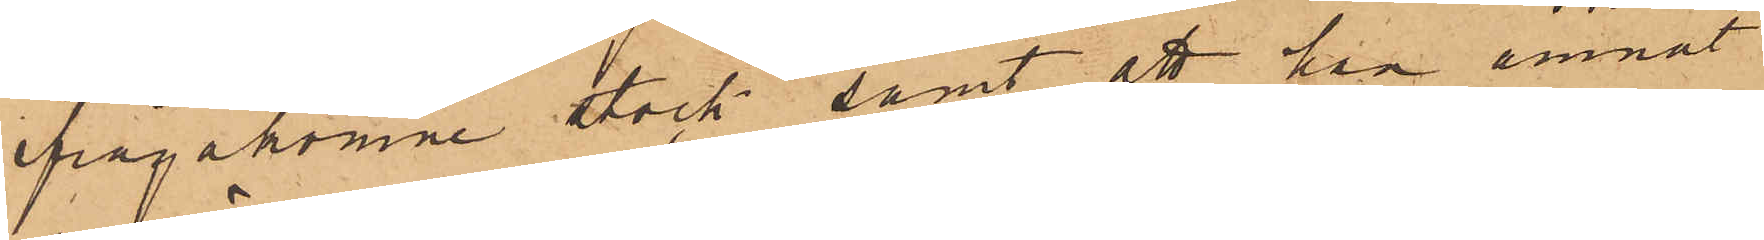ifrågakomne stock, samt att han ämnat
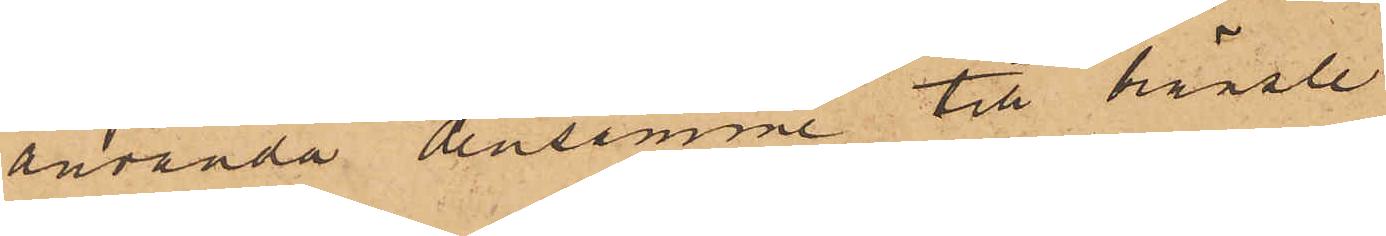använda densamme till bränsle.
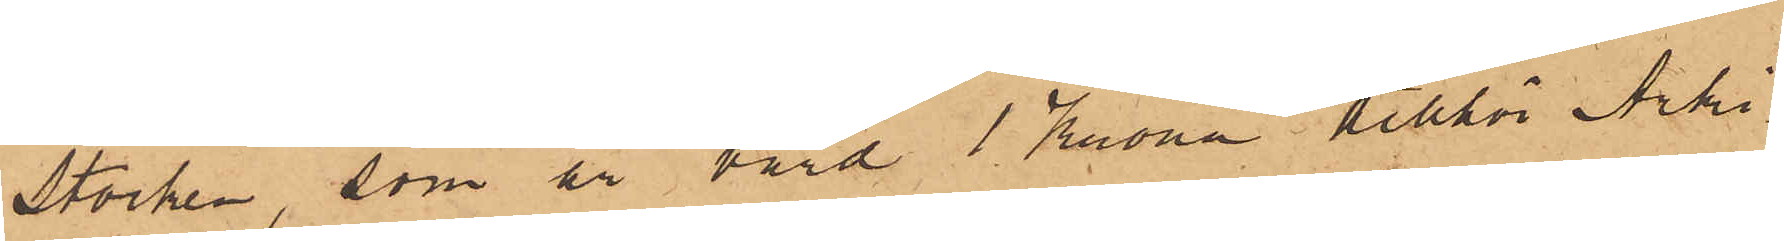Stocken, som är värd 1 Krona tillhör Arki¬
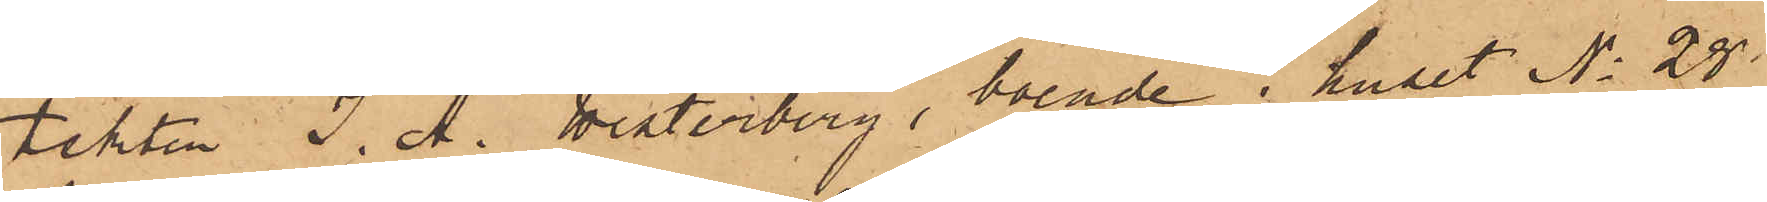tekten J. A. Westerberg, boende i huset No 28
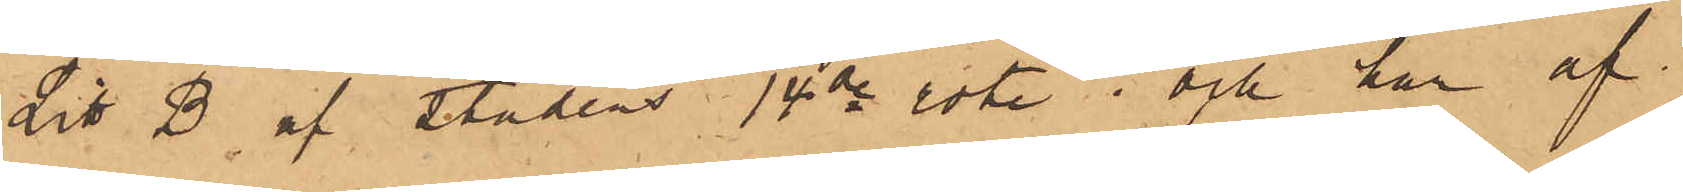Litt B af stadens 14de rote; och har af
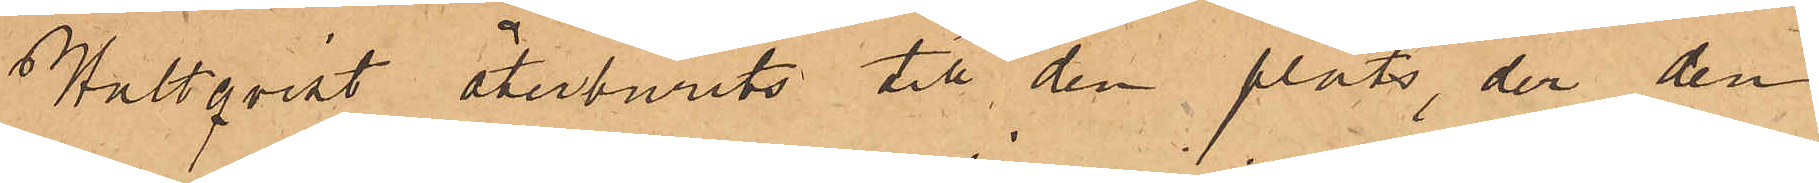Hultqvist återburits till den plats, der den¬
